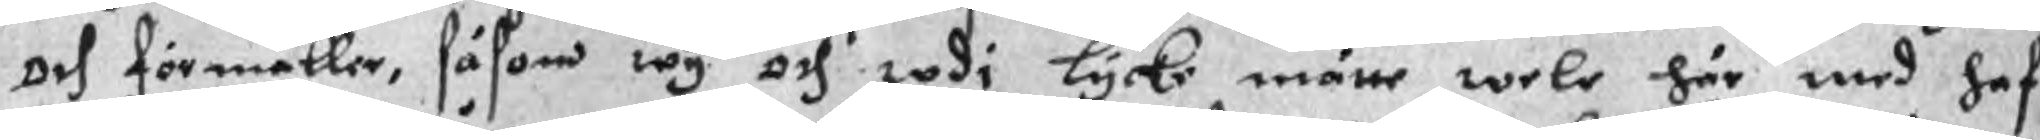och förmäller, såsom wy och wdi lycke måne wele här med haf¬
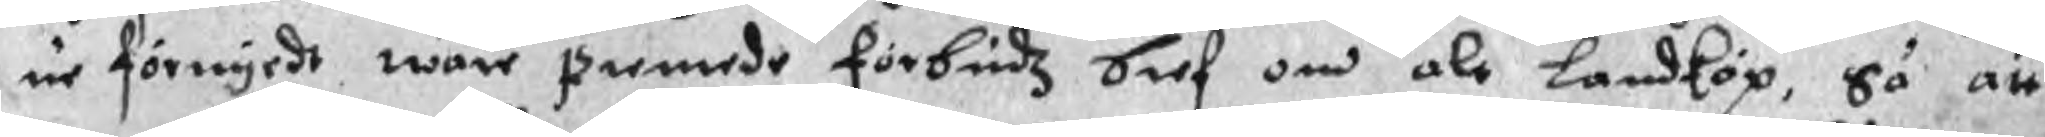ur förnyedt wåre siemede förbudz bref om ale Landköp, så att
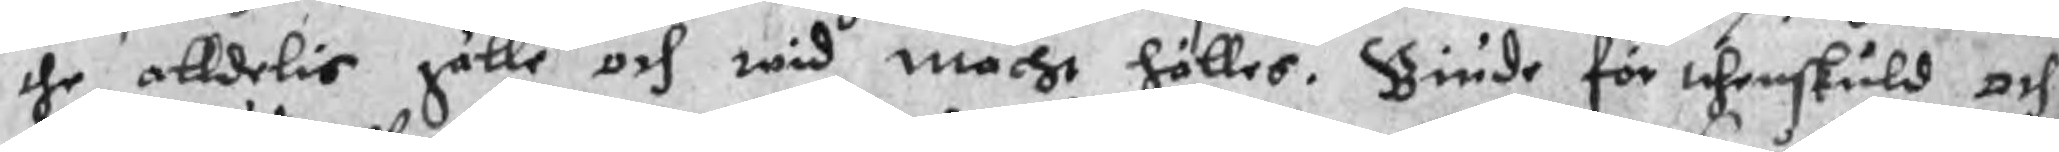the alldelis gälle och wid macht hålles. Biude för thenskuld och
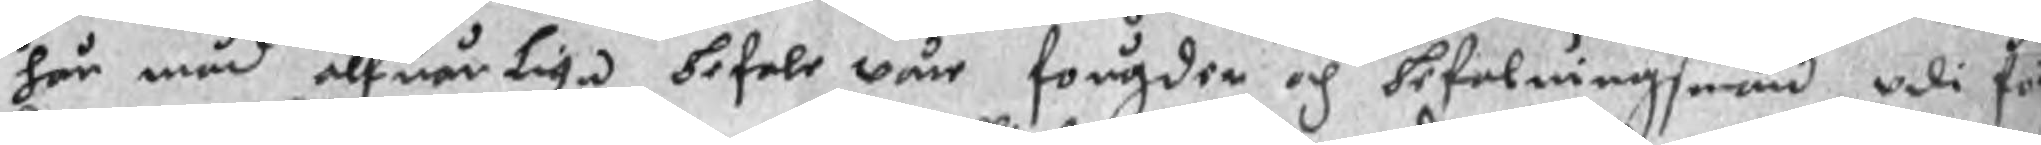här mäd alfuarliga befale wår fougder och befalningsmän vdi för¬
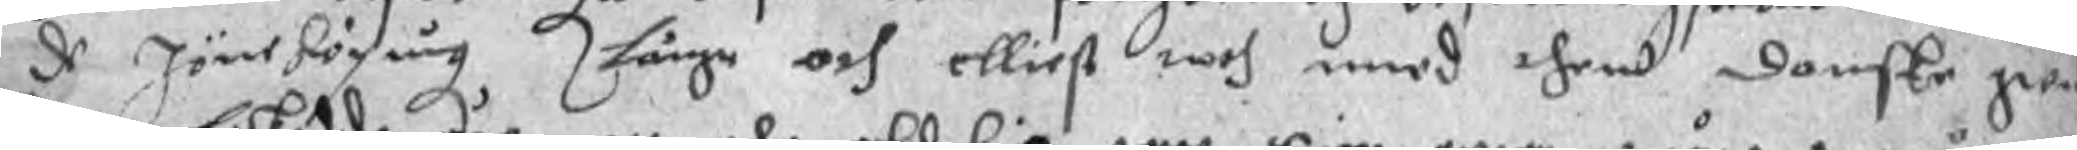de Jöneköping långe och elliest noch med then Danske Se¬
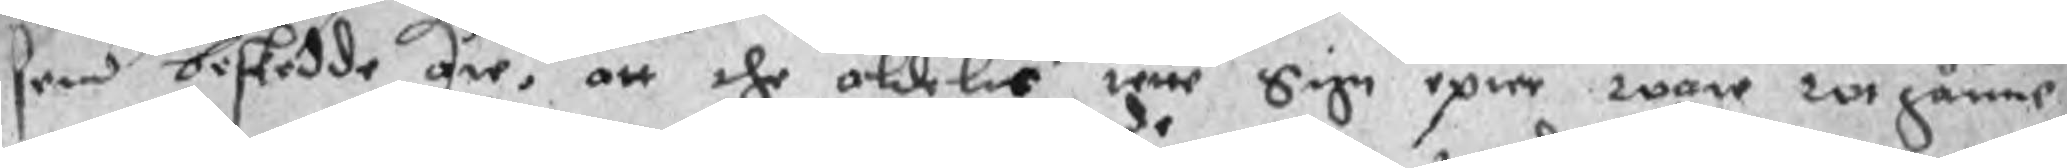hen biskedde äre, att the aldelis rette Sige epwe wåre wtgånns
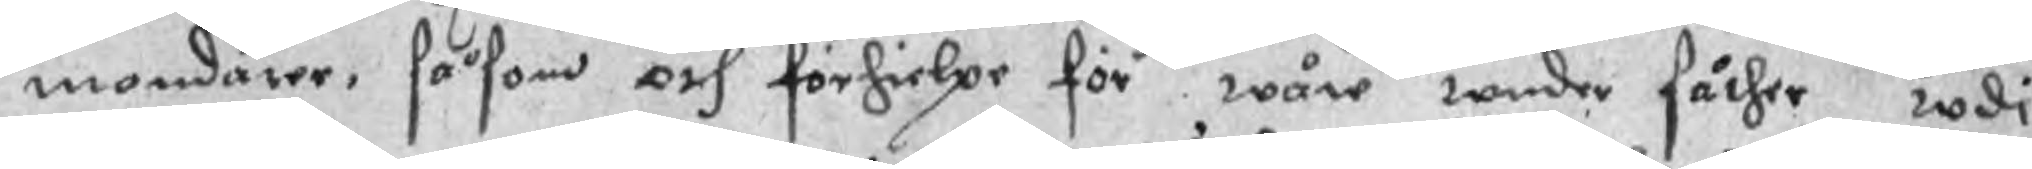mondare, såsom och förhielpe förde wåre weder fåther wdi
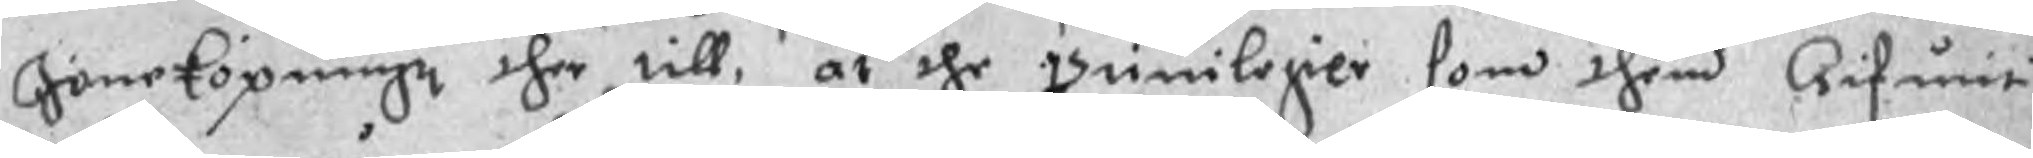Jöneköpingz ther till, at the priuilegier som them Gifuit
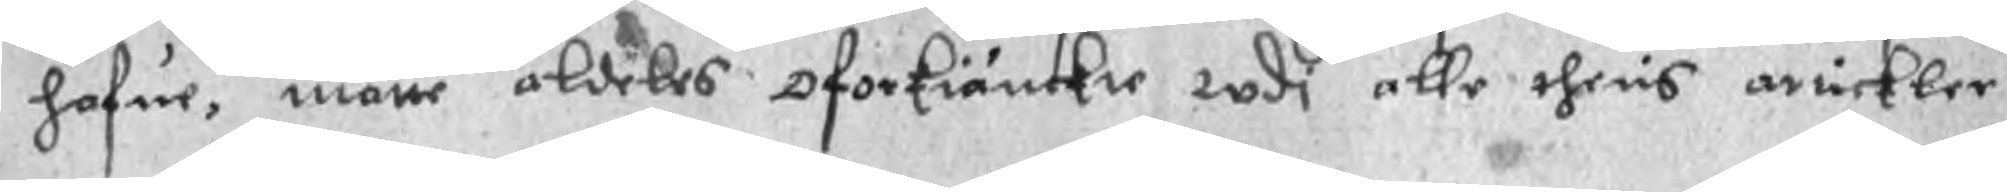hafue, måtte aldeles oforkiänckie wdi alle theris artickler
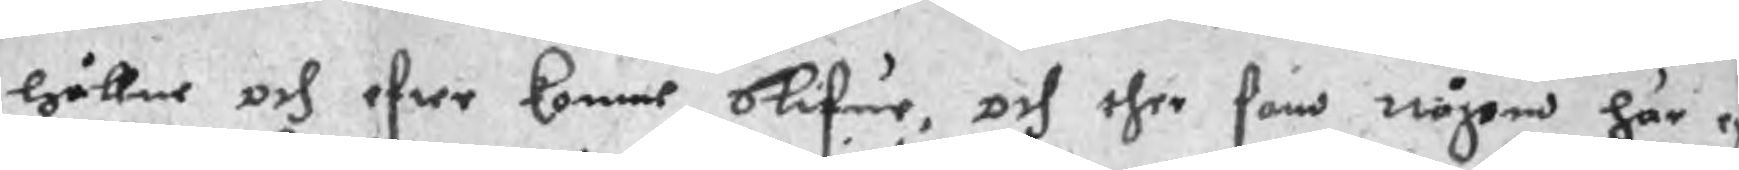hållne och efter komne blifue, och ther som någon här e
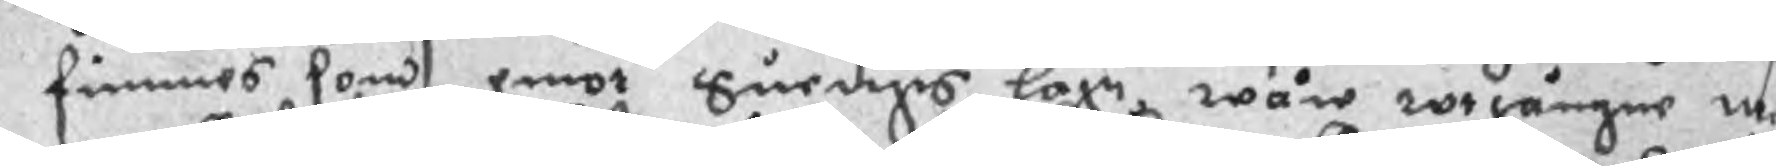III: 29 A 103 finnes som emot Suerigis lagn wåre wtgångne me¬
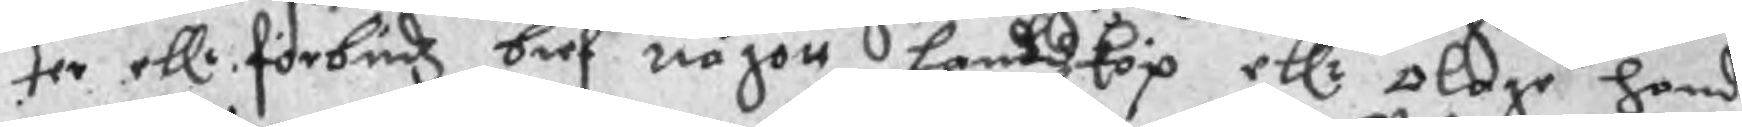ter ellr förbudz bref någott Landzköp ellr olage handel
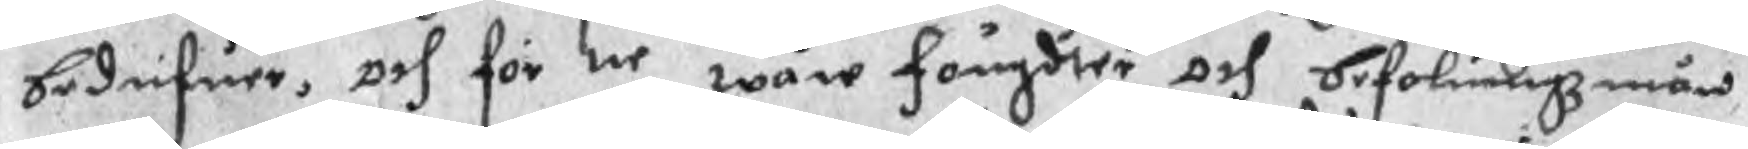bedrifuer, och för ne wåre foungdter och befalningzmän
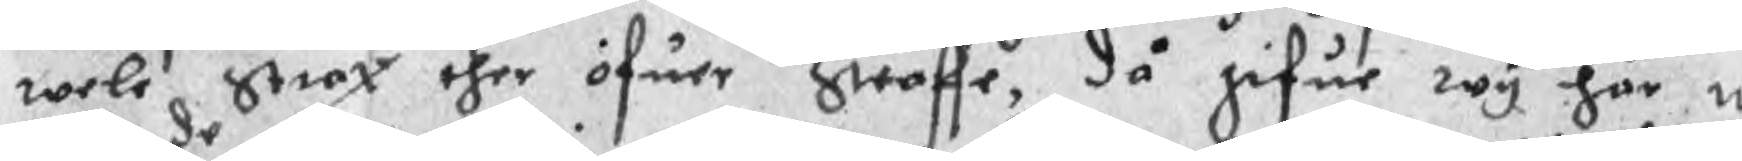wele strax ther öfuer Straffe, då gifue wy här nu
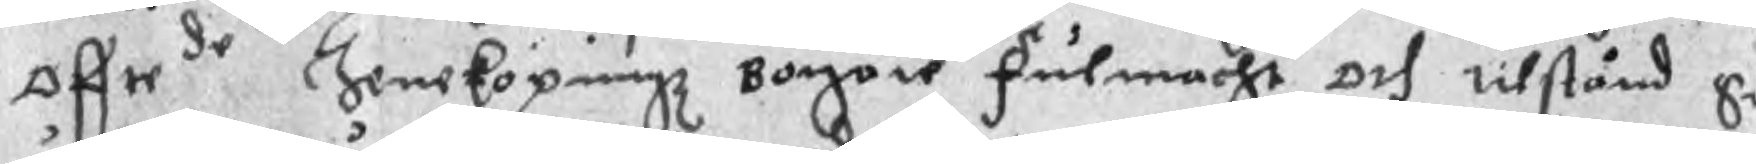offtede Jeneköpingz Borgare fulmacht och tilstånd Si
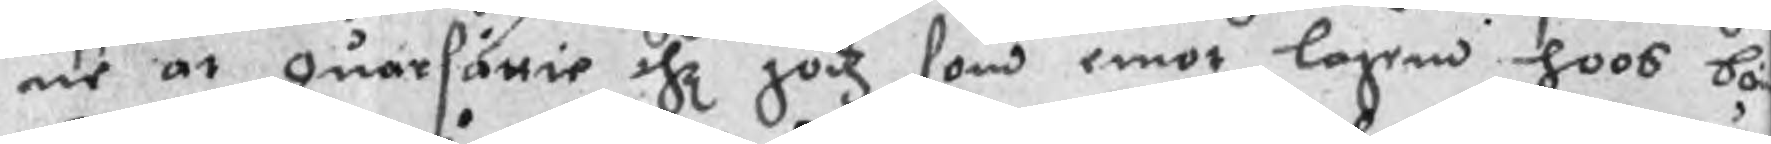ue at quarsättie the godz som emot lagen hoos bö
